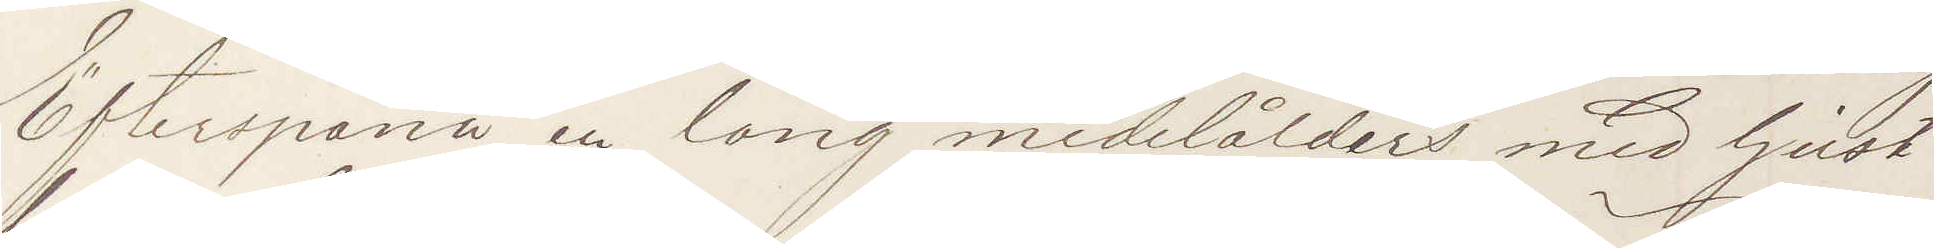Efterspana en lång medelålders med ljust
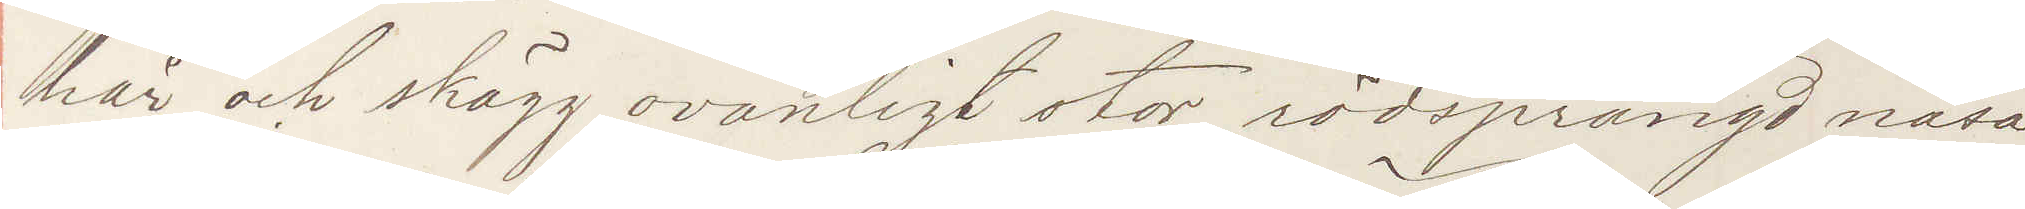hår och skägg, ovanligt rödsprängd näsa,
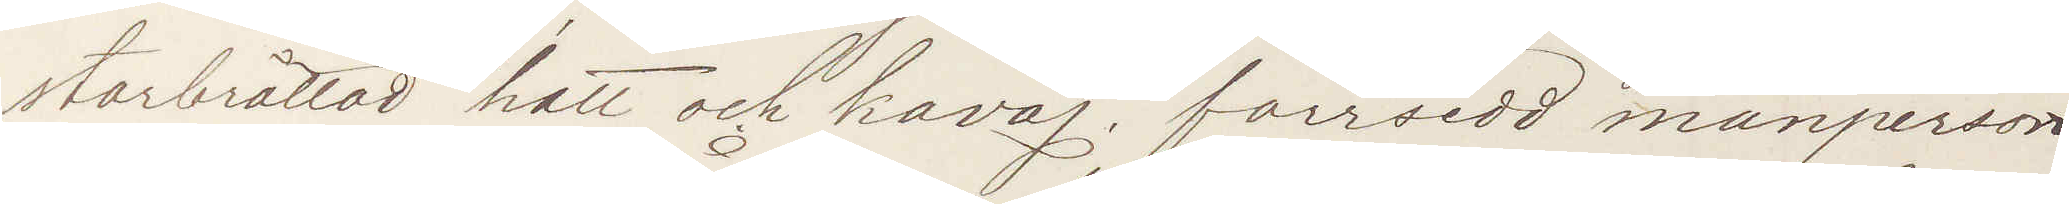storbrättad hatt och kavaj. försedd mansperson
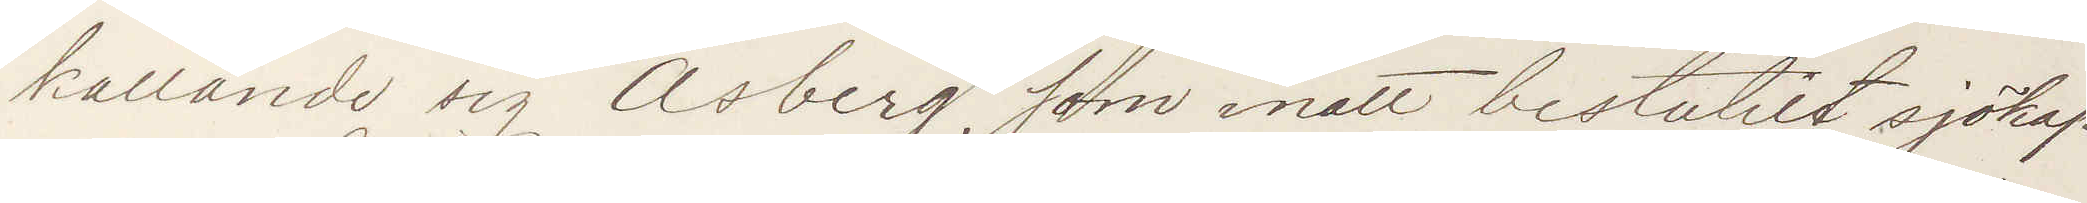kallande sig Åsberg, som inatt bestulit sjökap¬
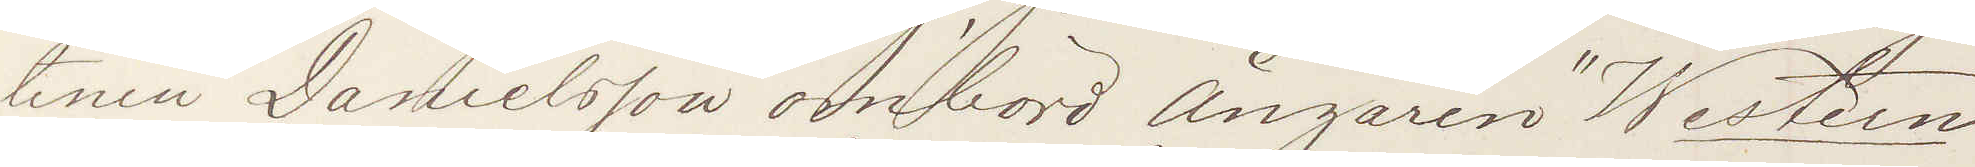tenen Danielsson ombord Ångaren "Western"
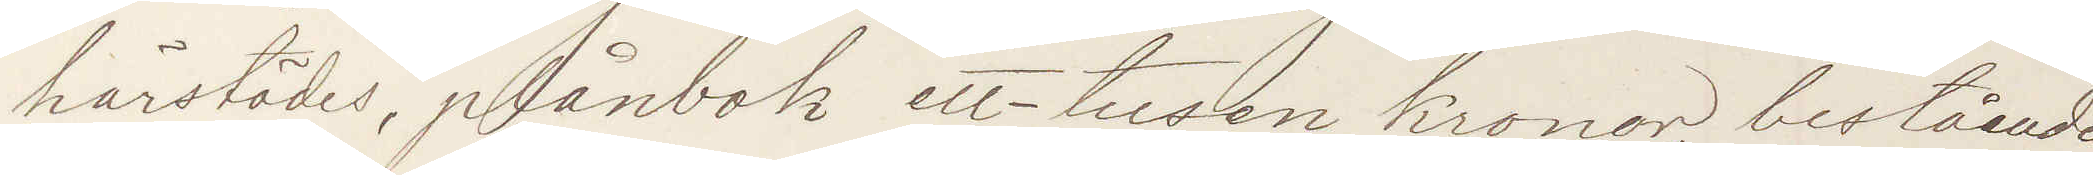härstädes, plånbok ett-tusen kronor bestående
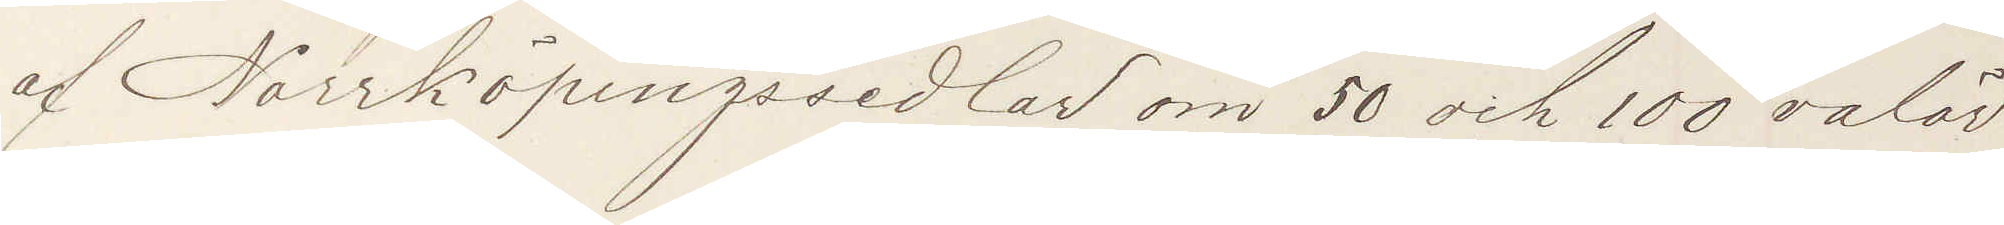af Norrköpingssedlar om 50 och 100 valör
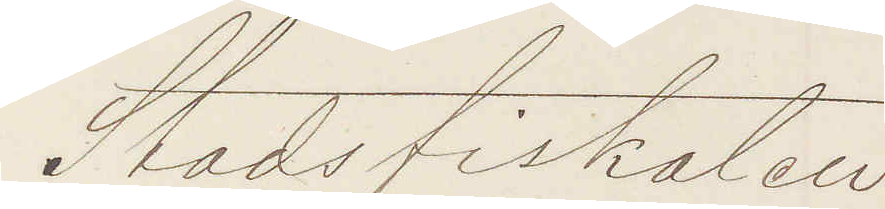Stadsfiskalen
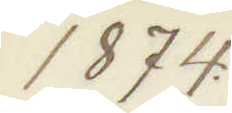1874.
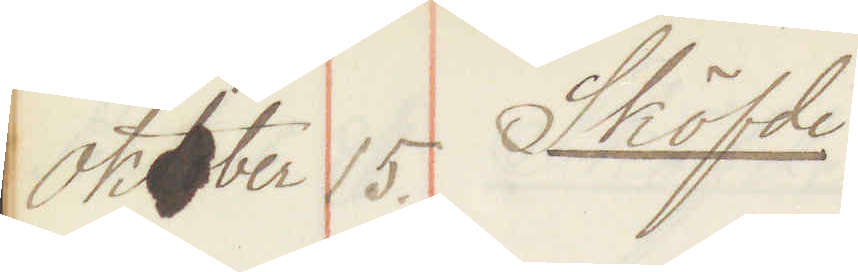Oktober 15. Sköfde
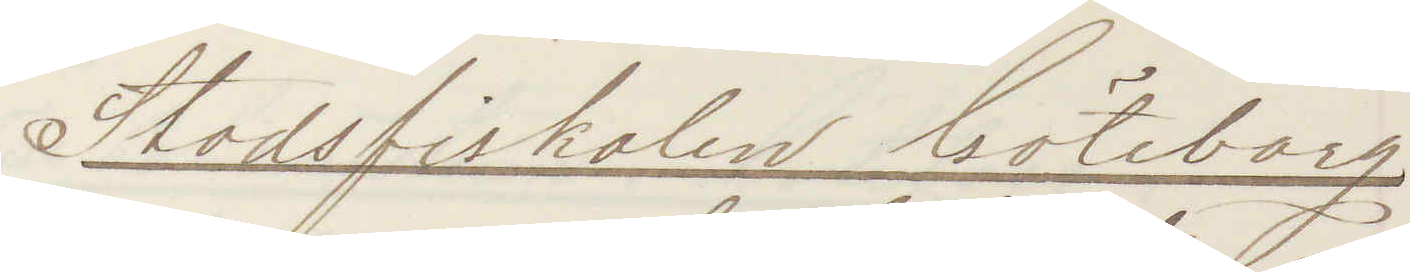Stadsfiskalen Göteborg
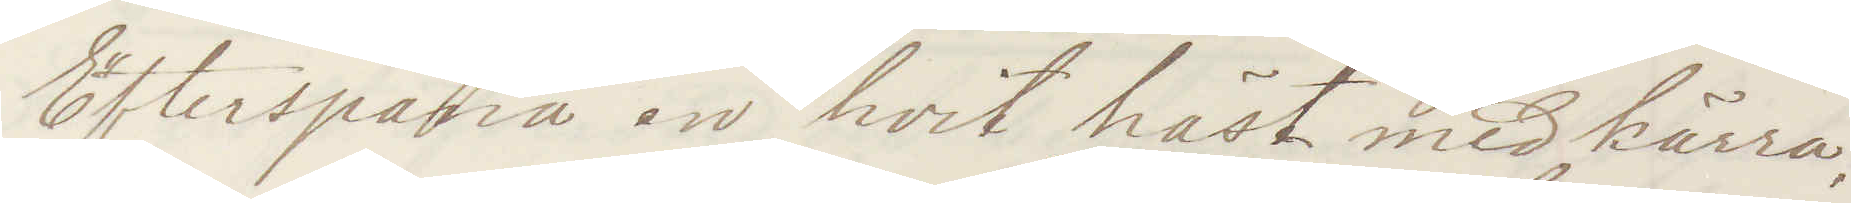Efterspana en hvit häst med kärra,
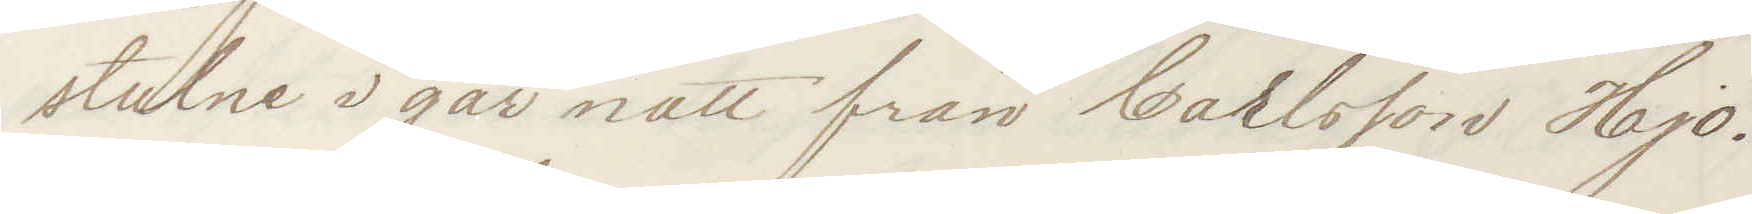stulne i går natt från Carlsson Hjo.
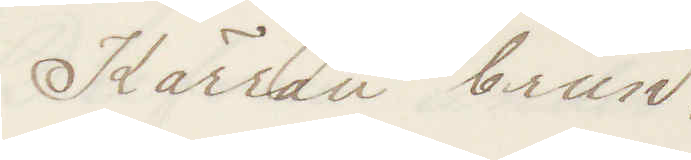Kärran brun.
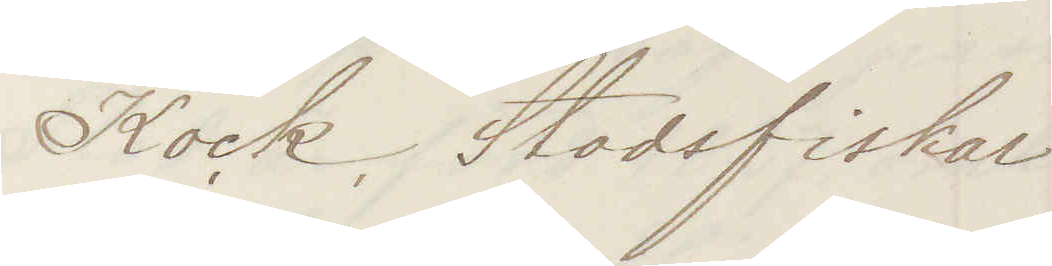Kock Stadsfiskal
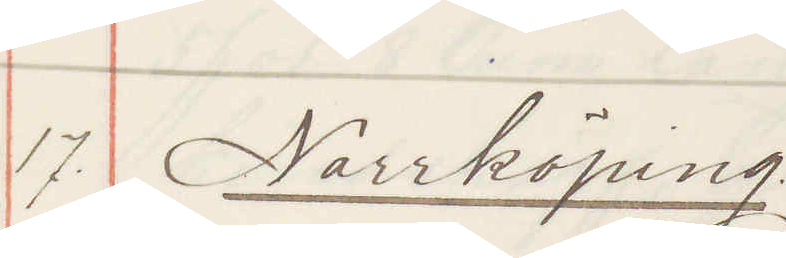17. Norrköping
